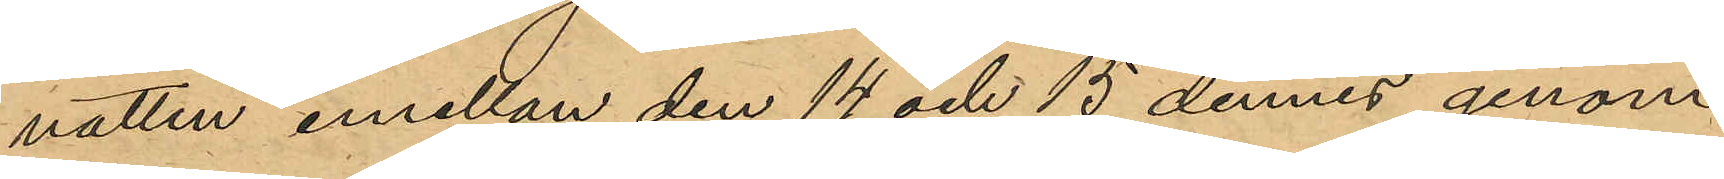natten emellan den 14 och 15 dennes genom
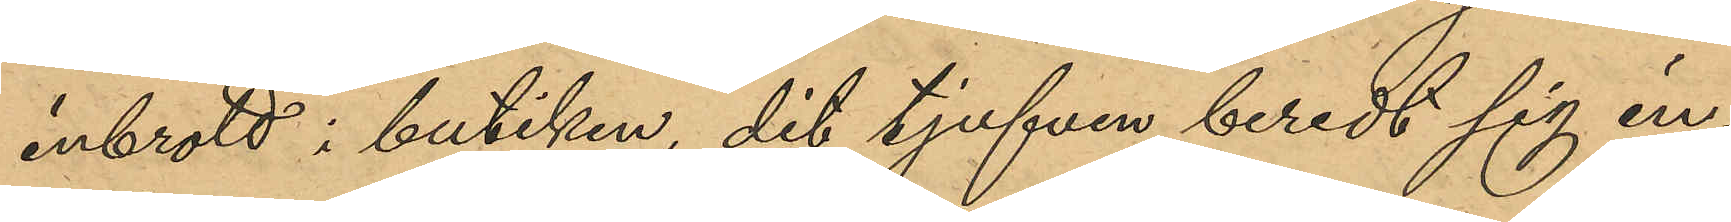inbrott i butiken, dit tjufven beredt sig in¬
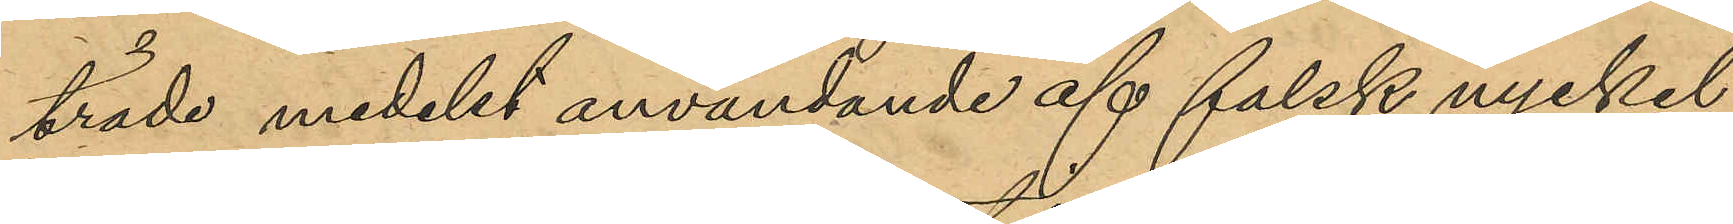träde medelst användande af falsk nyckel
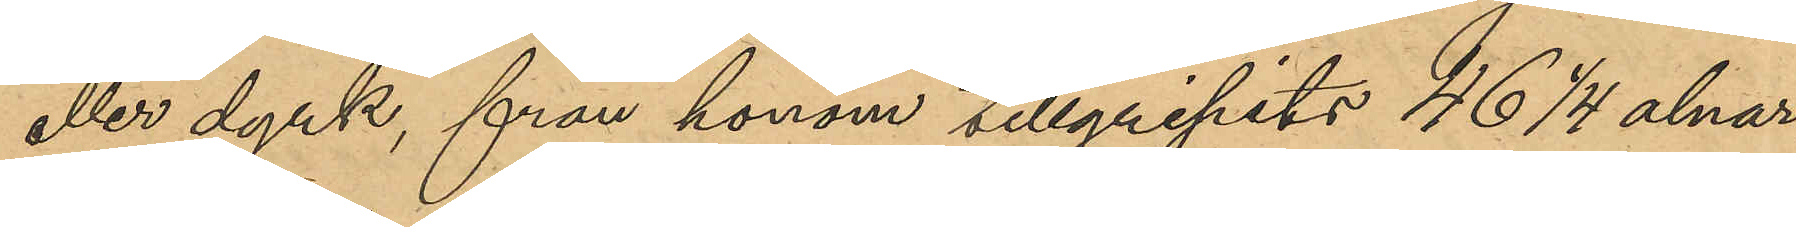eller dyrk, från honom tillgripits 46 1/4 alnar
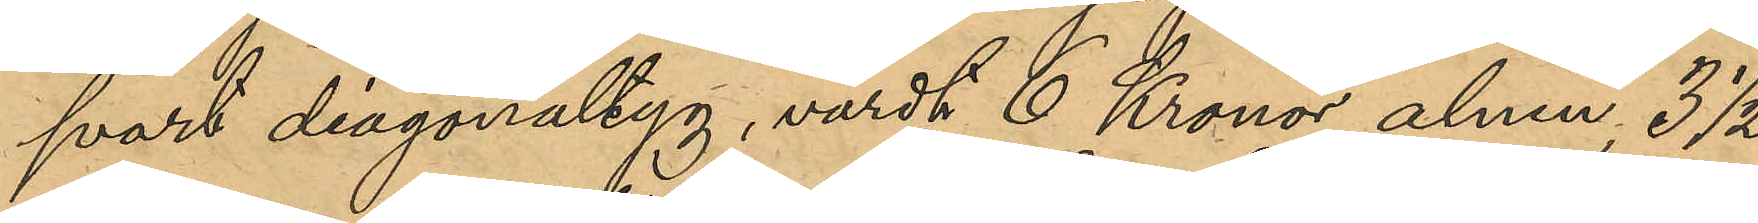svart diagonaltyg, värdt 6 Kronor alnen, 3 ½
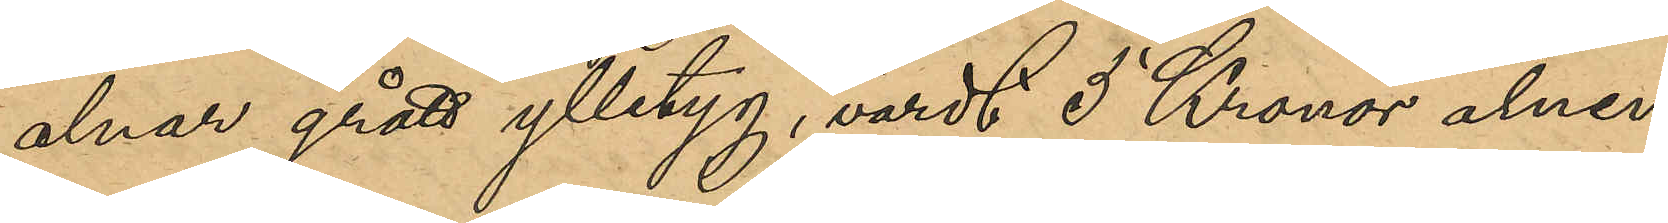alnar grått ylletyg, värdt 5 Kronor alnen,
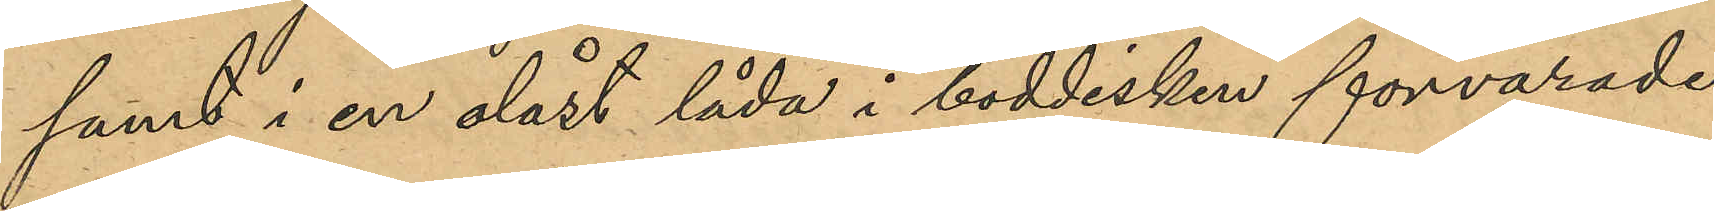samt i en olåst låda i boddisken förvarade
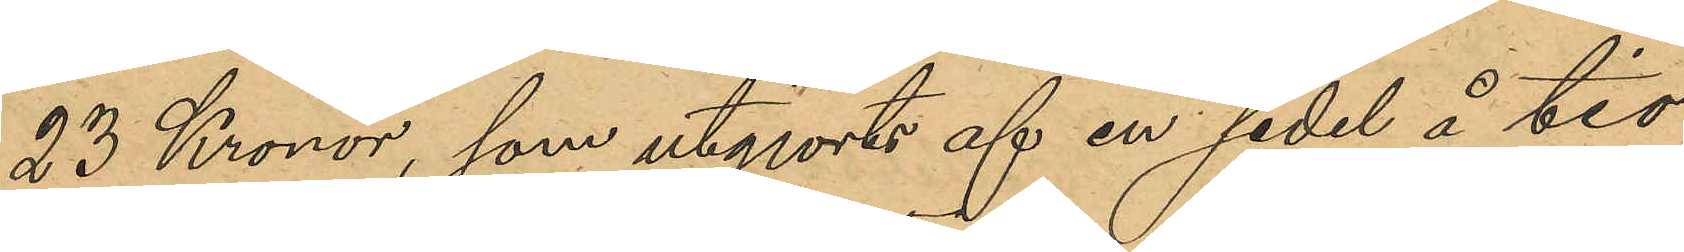23 Kronor, som utgjorts af en sedel å tio
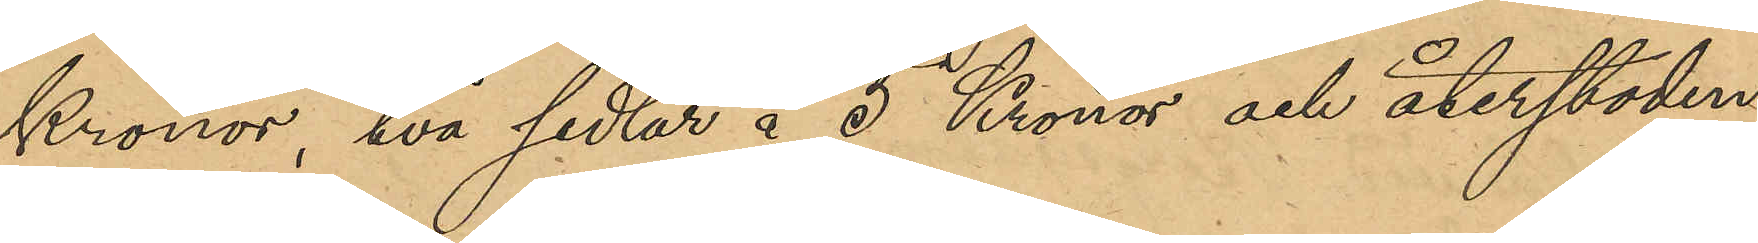Kronor, två sedlar å 5 Kronor och återstoden
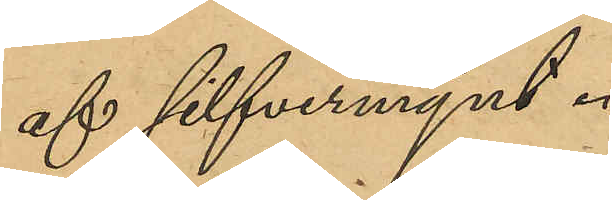af silfvermynt.
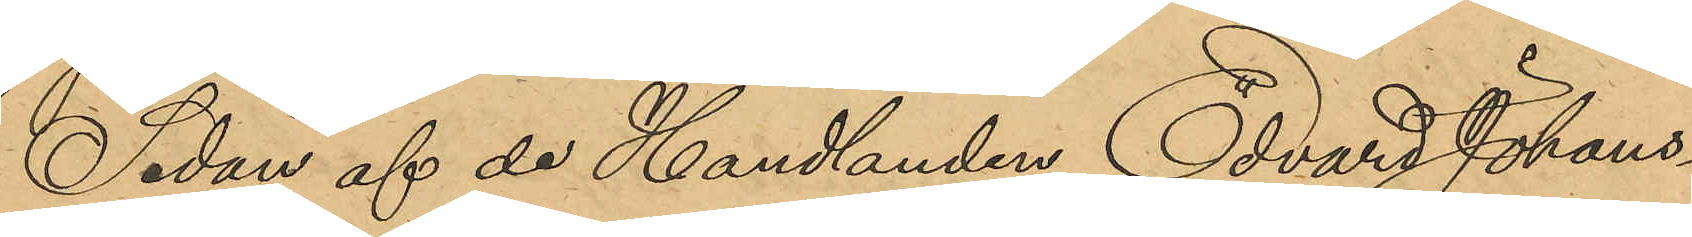Sedan af de Handlanden Edvard Johans¬
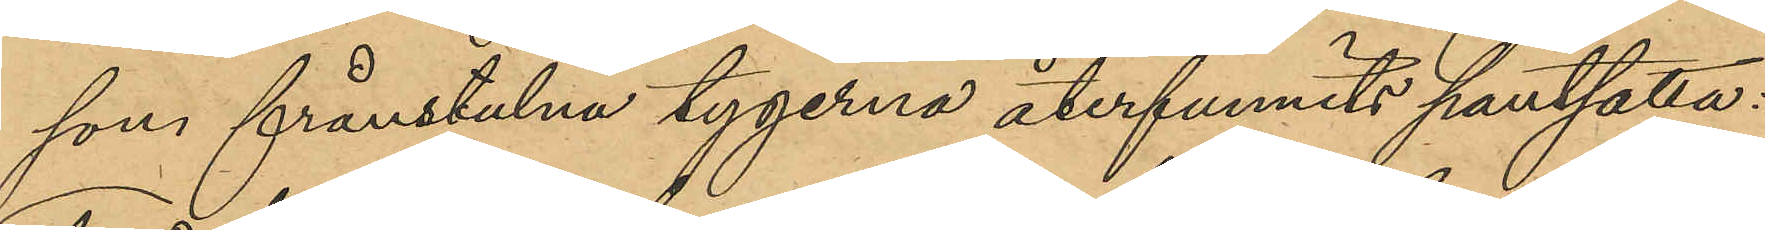sons frånstulna tygerna återfunnits pantsatta
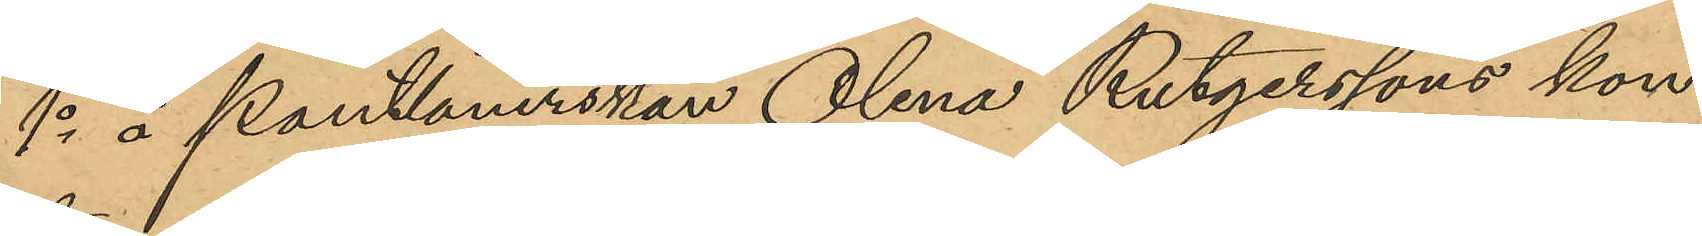1o å Pantlånerskan Olena Rutgerssons kon¬
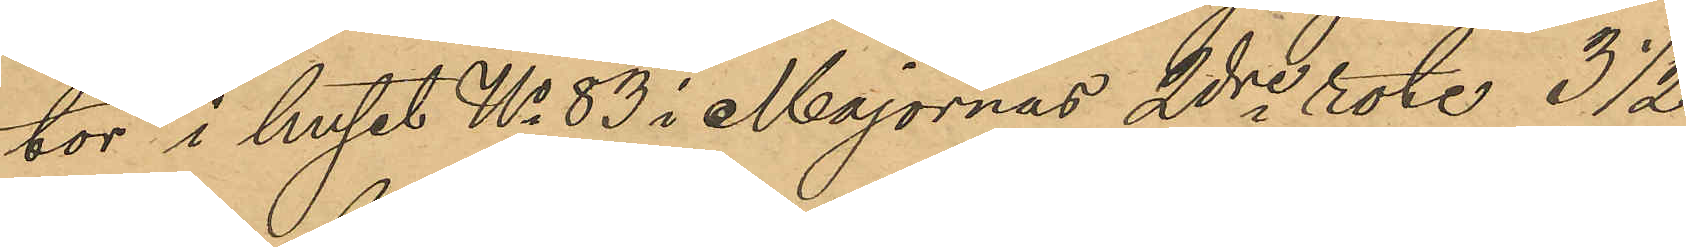tor i huset No 83 i Majornas 2dre  rote, 3 ½
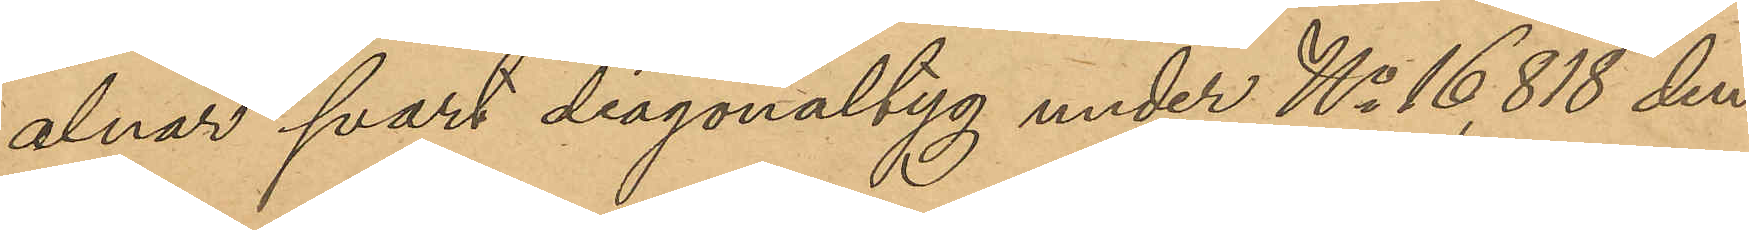alnar svart diagonaltyg under No 16,818 den
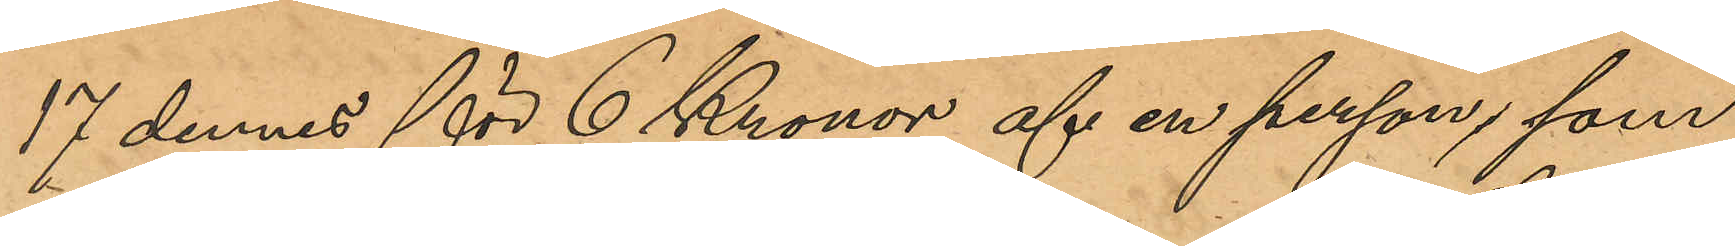17 dennes för 6 Kronor af en person som
